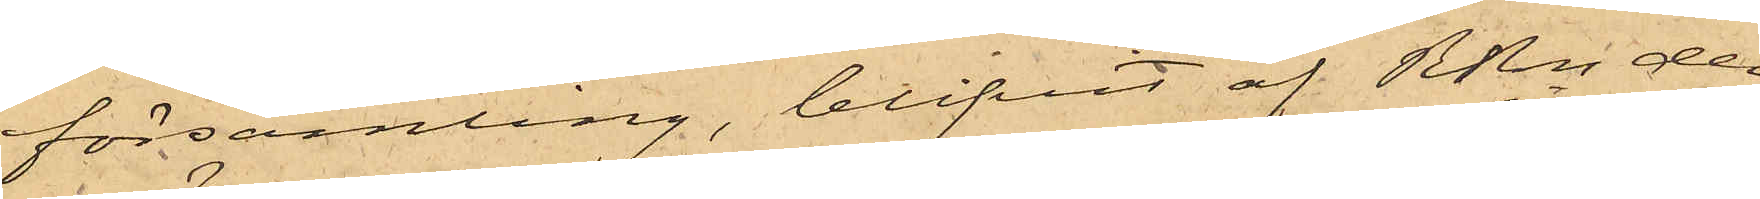församling, blifvit af RRn der¬
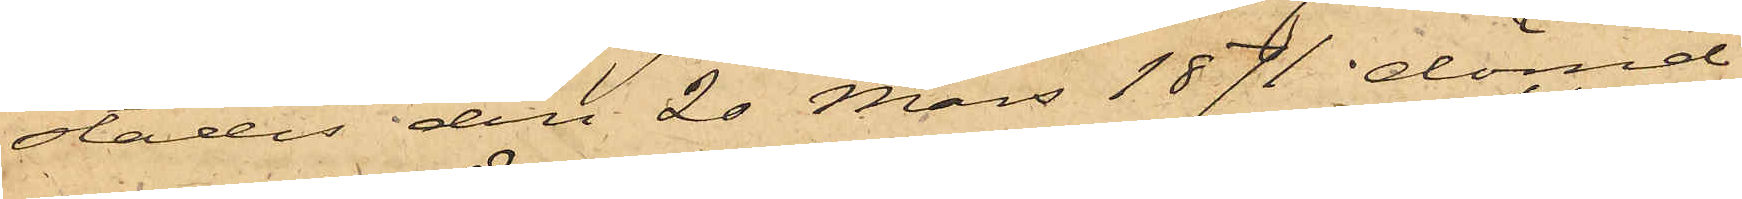städes den 20 Mars 1871 dömd
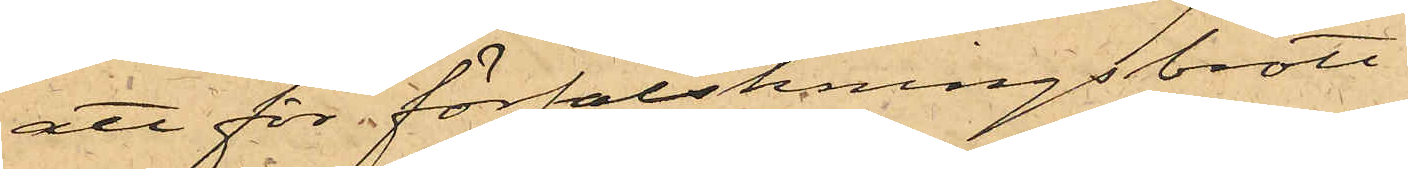att för förfalskningsbrott
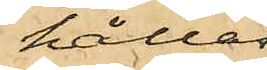hållas
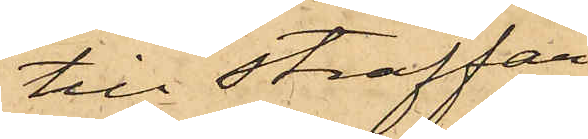till straffar¬
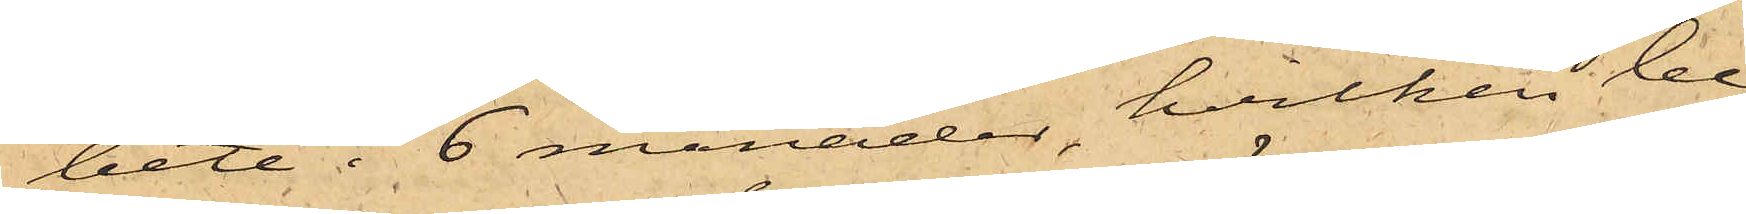bete i 6 månader, hvilken be¬
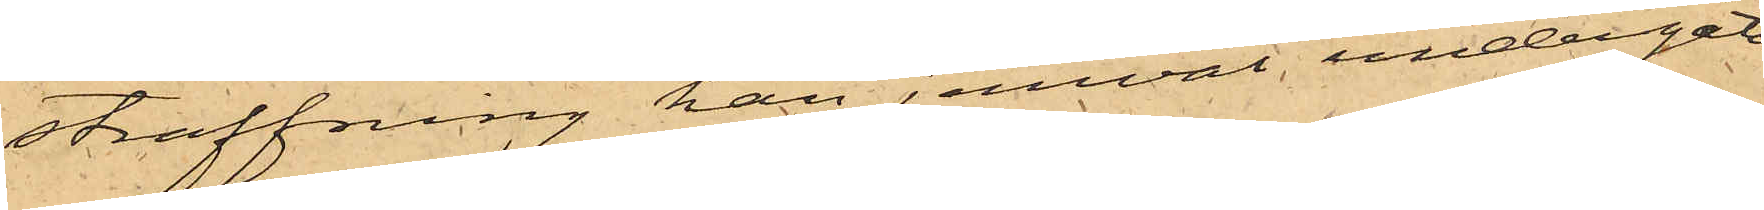straffning han jemväl undergått.
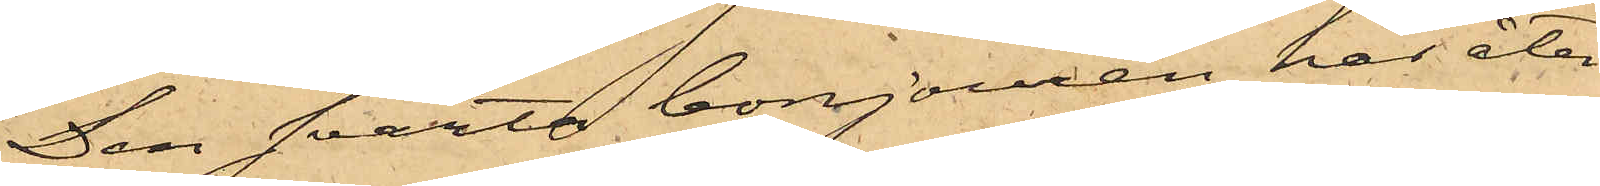Den svarta bonjouren har åter¬
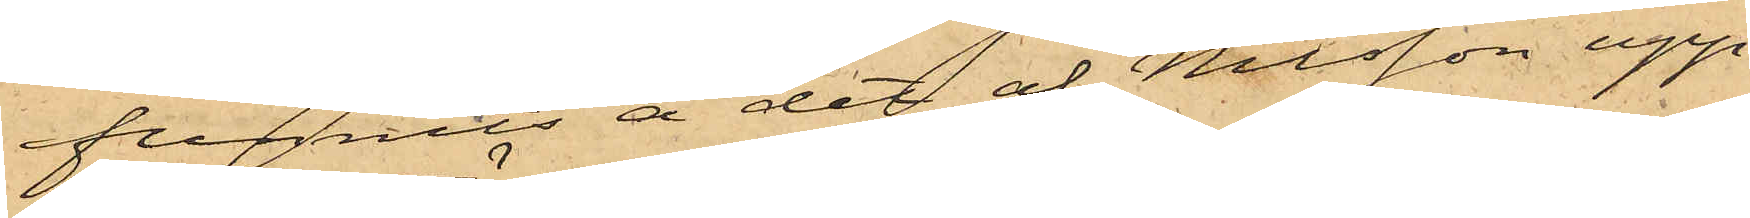funnits å det af Nilsson upp¬
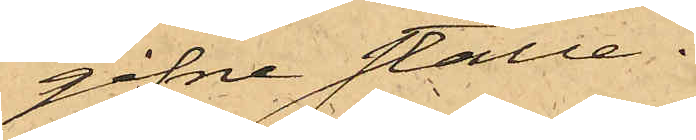gifne ställe.
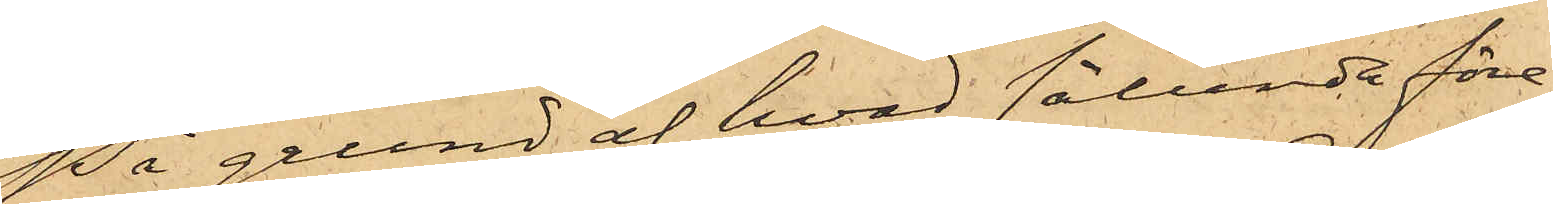På grund af hvad sålunda före¬
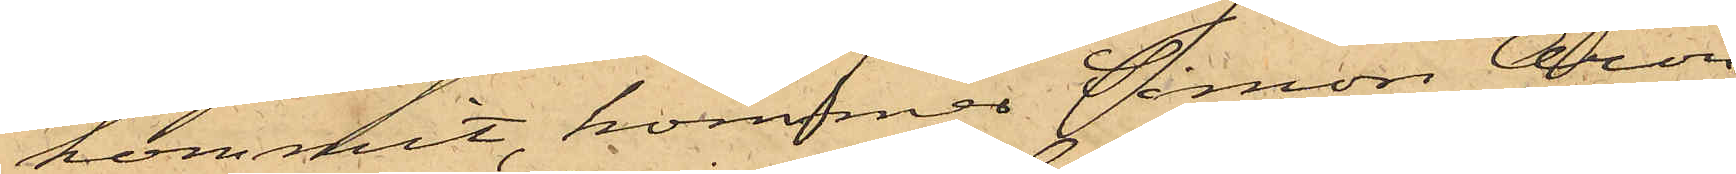kommit, kommer Simon Aron
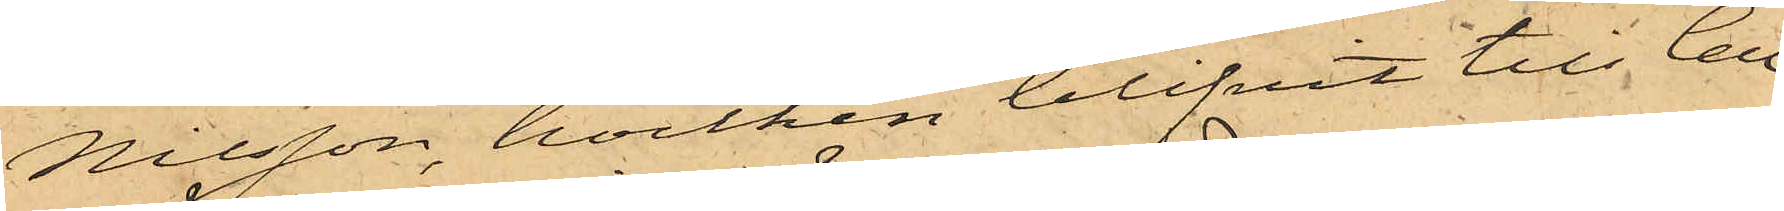Nilsson, hvilken blifvit till Cell¬
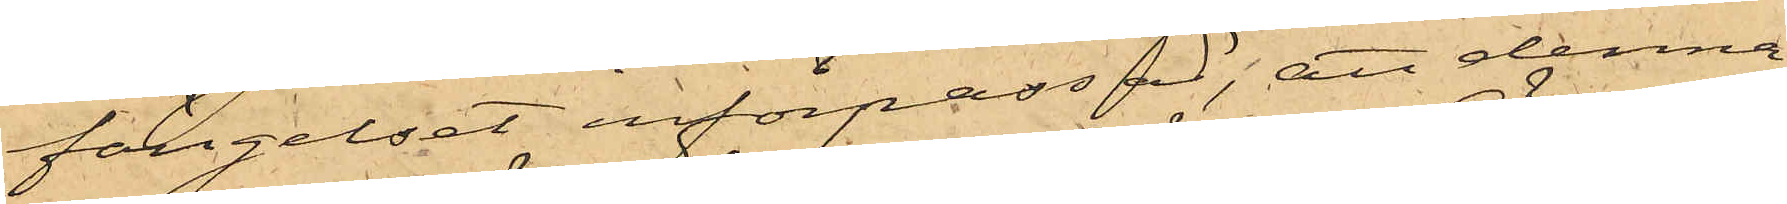fängelset införpassad, att denna
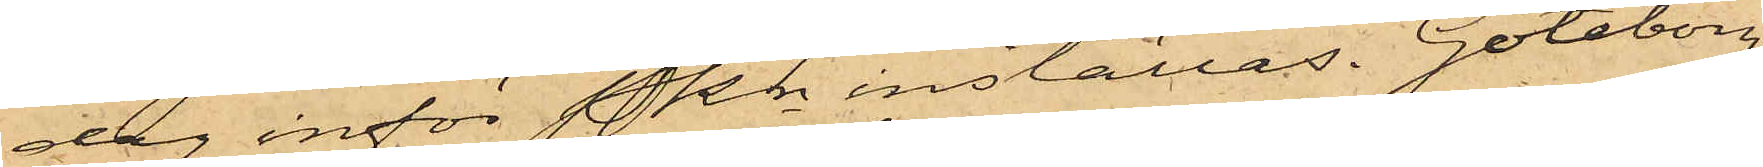dag inför Pkn inställas. Göteborg
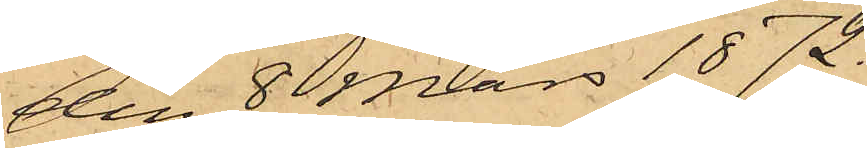den 8 Mars 1872.
